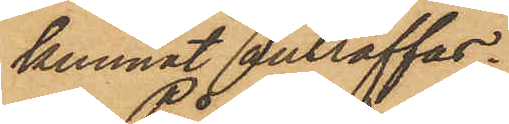kunnat anträffas.
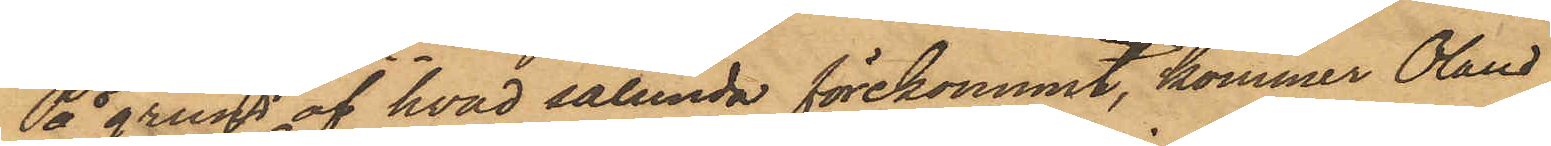På grund af hvad sålunda förekommit, kommer Olaus
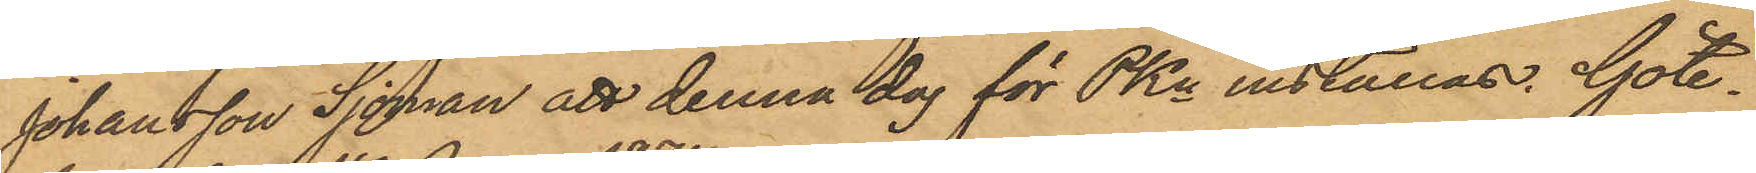Johansson Sjöman att denna dag för PKn inställas. Göte¬
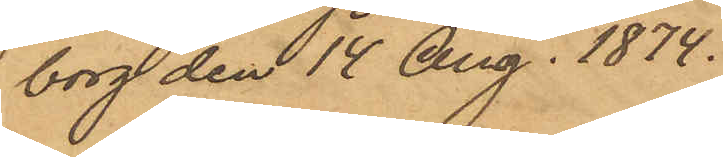borg den 14 Aug. 1874.
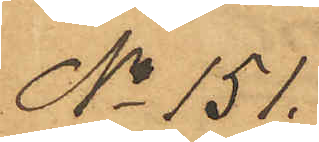No 151.
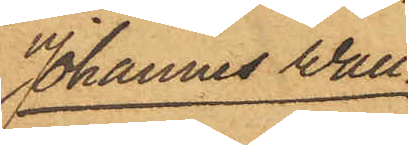Johannes Wall¬
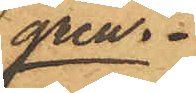gren.
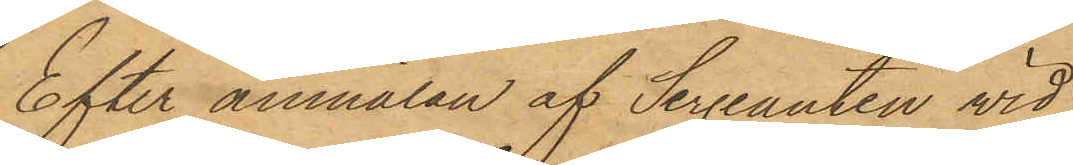Efter anmälan af Sergeanten wid
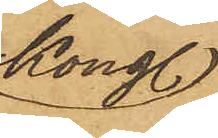Kongl.
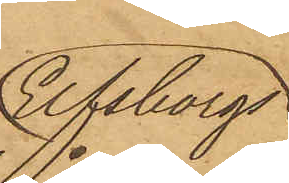Elfsborgs
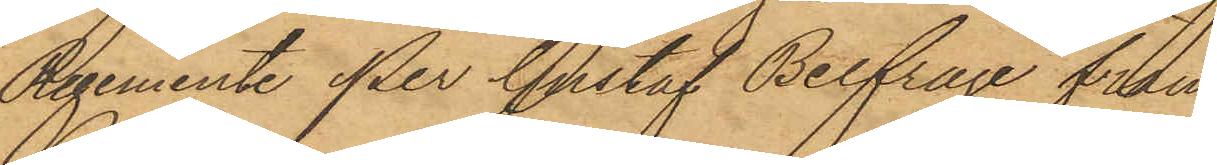Regemente Per Gustaf Belfrage från
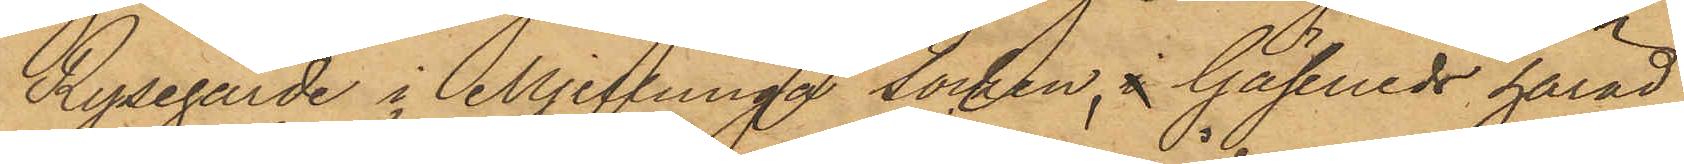Rysegärde i Mjeldrunga socken, i Gäsene härad,
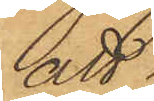att
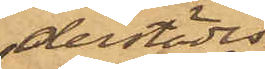derstädes
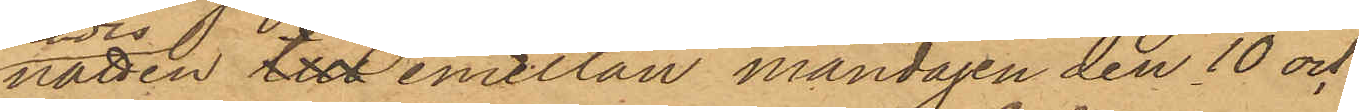natten till emellan måndagen den 10 och
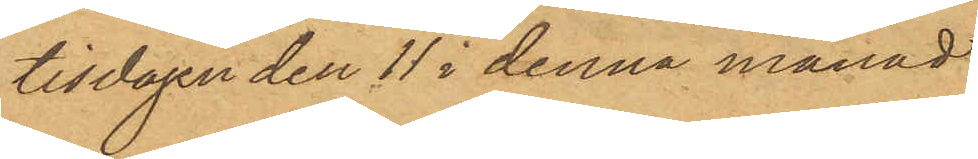tisdagen den 11 i denna månad
